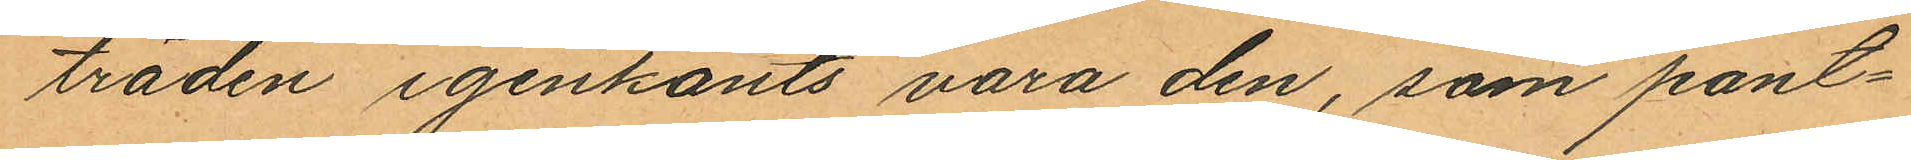träden igenkänts vara den, som pant¬
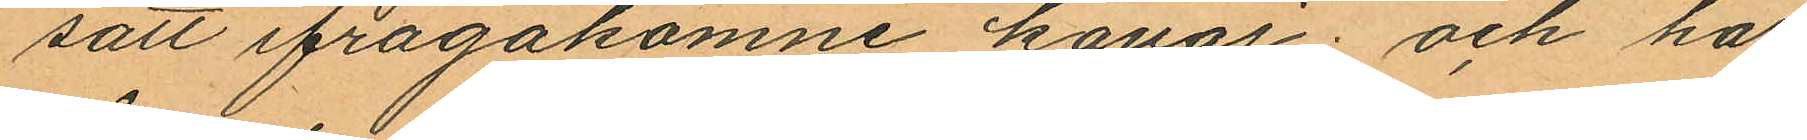satt ifrågakomne kavaj; och har
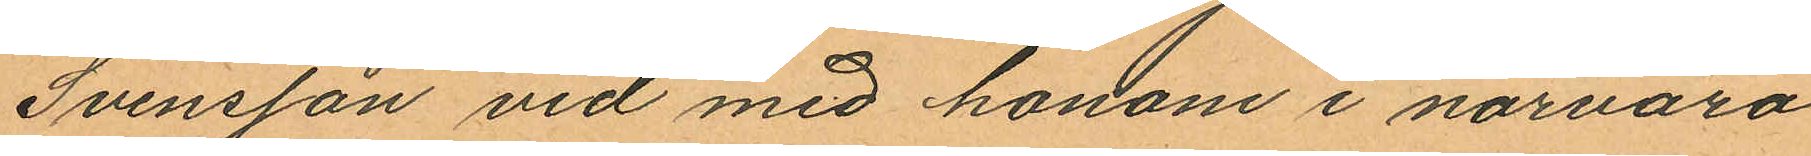Svensson vid med honom i närvaro
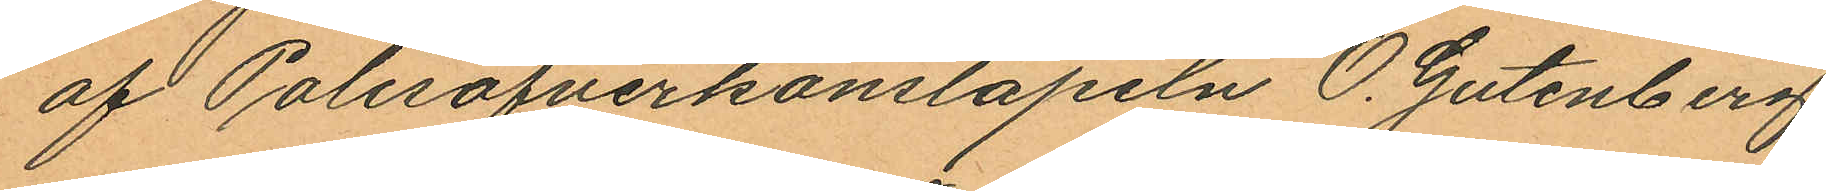af Polisöfverkonstapeln O. Gutenberg
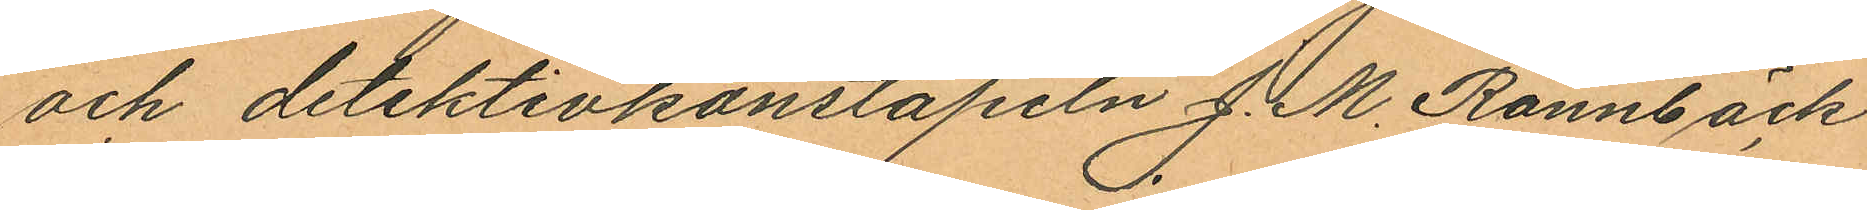och detektivkonstapeln J. M. Rönnbäck
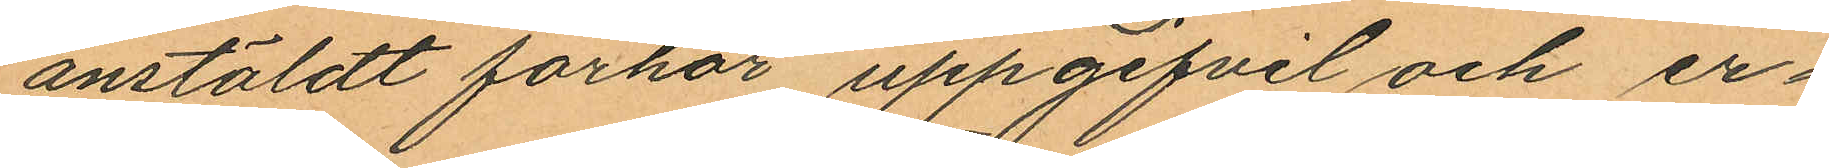anstäldt förhör uppgifvit och er¬
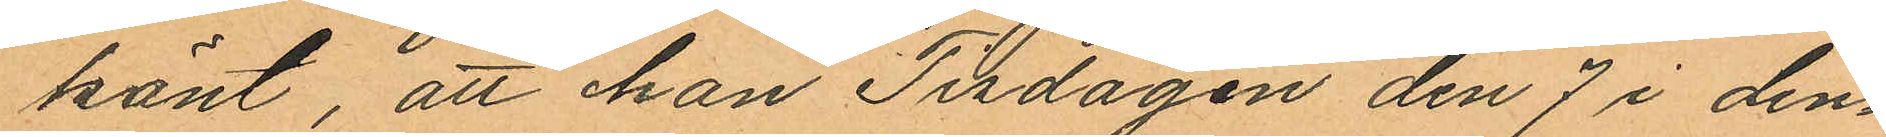känt, att han Tisdagen den 7 i den¬
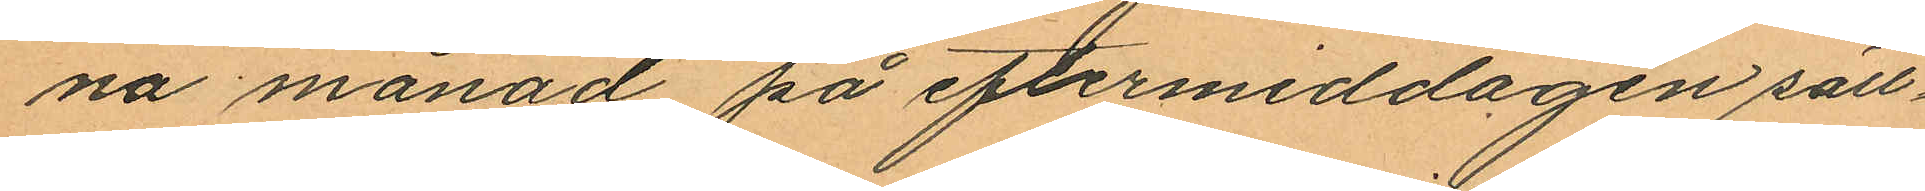na månad på eftermiddagen säll¬
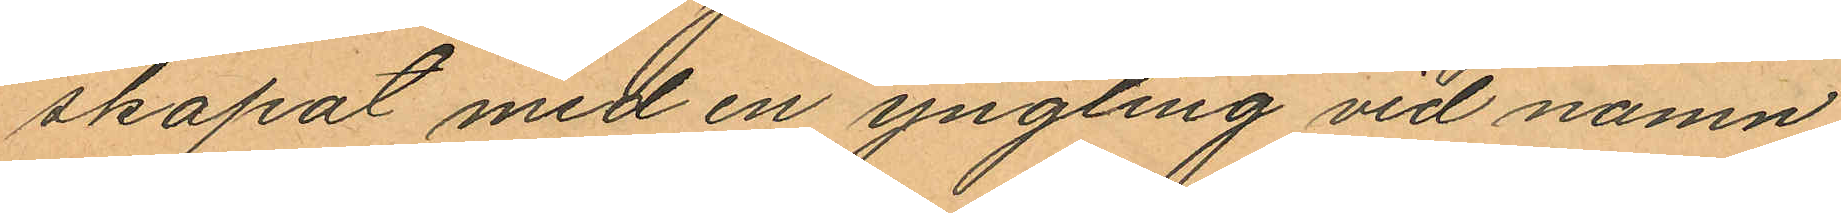skapat med en yngling vid namn
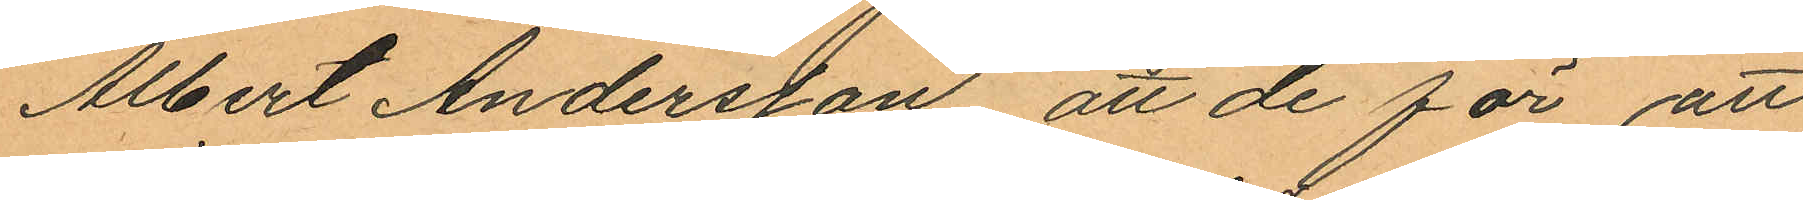Albert Andersson att de för att
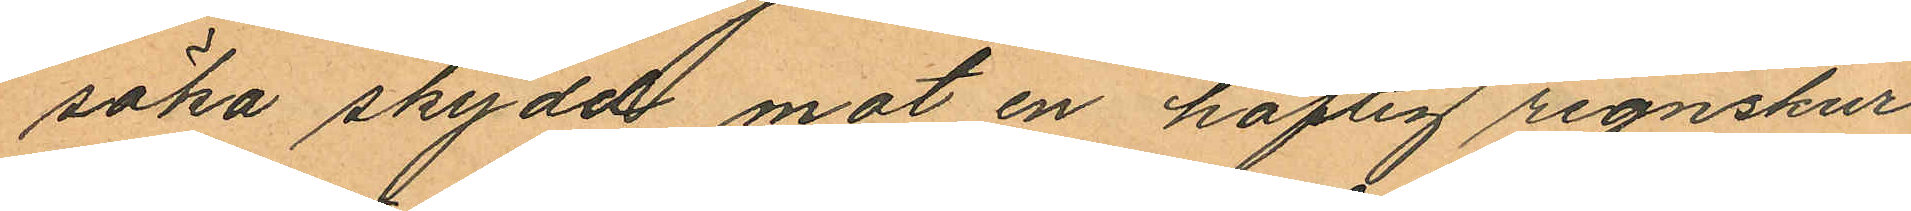söka skydd mot en häftig regnskur
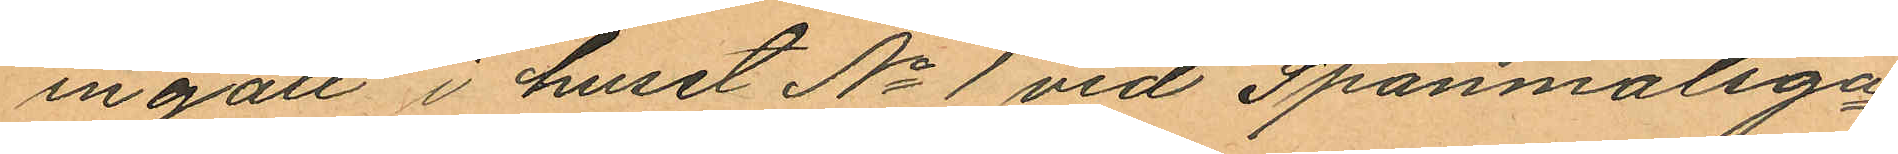ingått i huset No 1 vid Spanmålsga¬
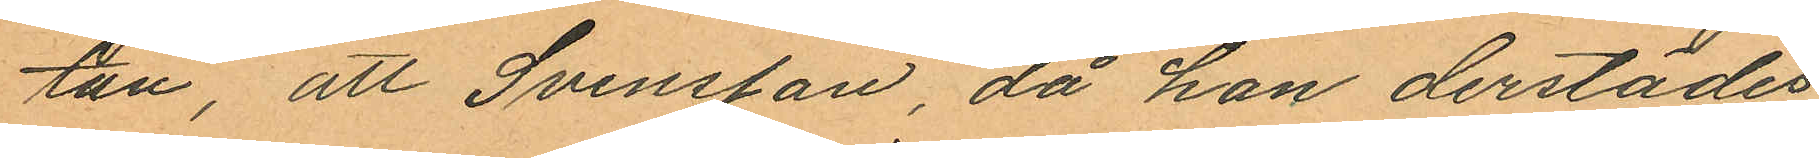tan, att Svensson, då han derstädes
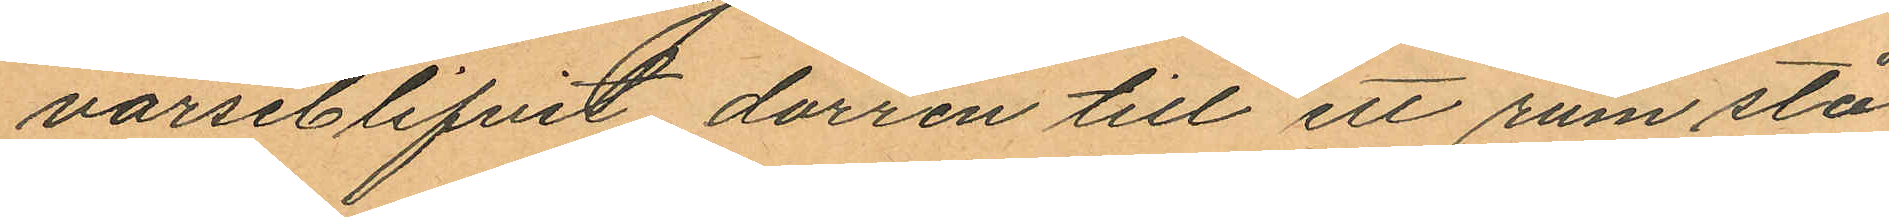varseblifvit dörren till ett rum stå
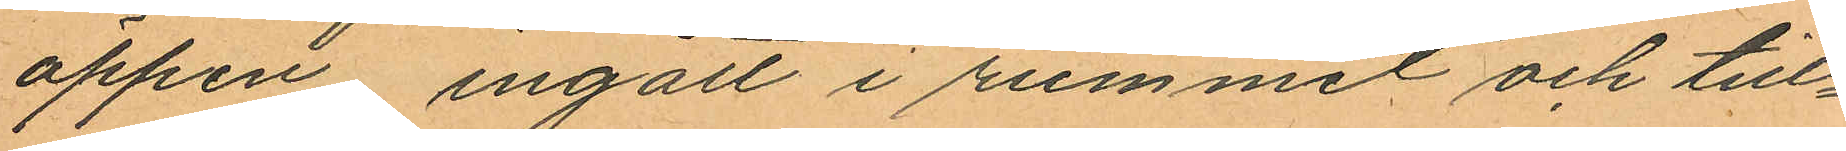öppen ingått i rummet och till¬
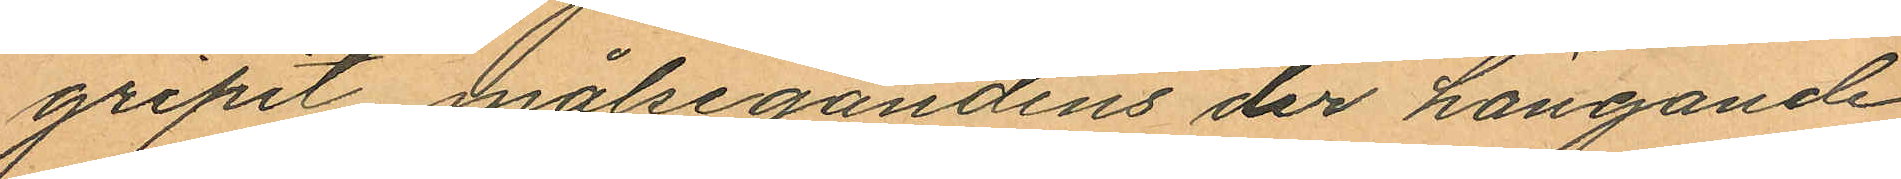gripit målsegandens der hängande
